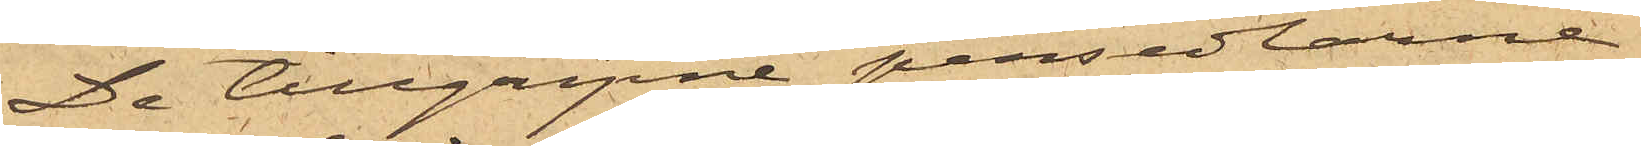De tillgripne persedlarne
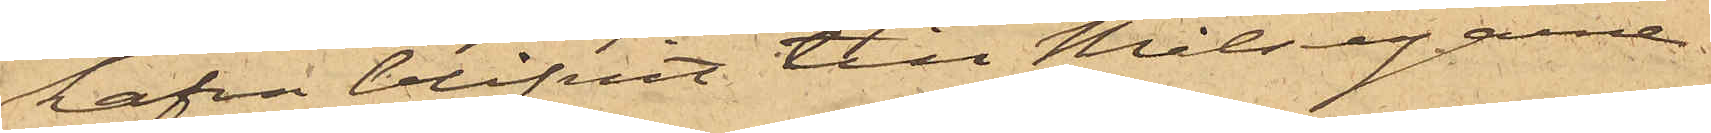hafva blifvit till Målsegarne.
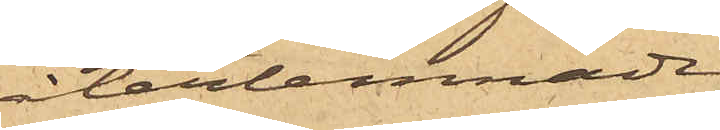återlemnade.
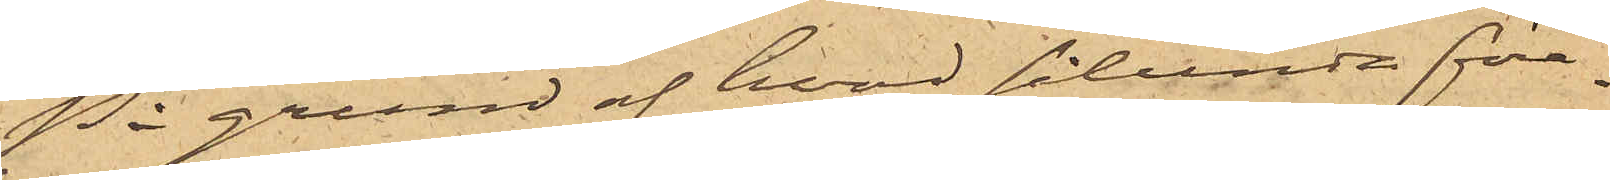På grund af hvad sålunda före¬
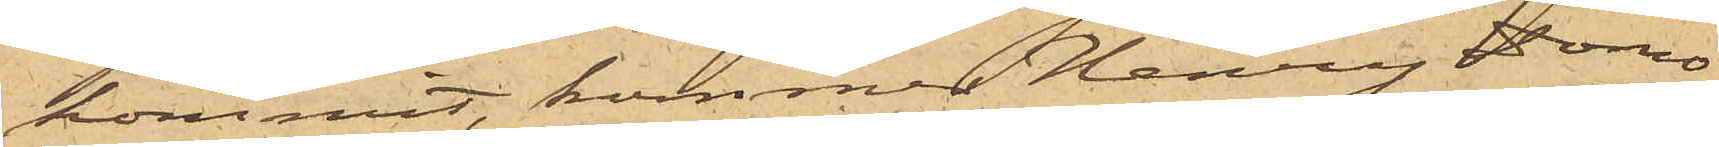kommit, kommer Henry Domo¬
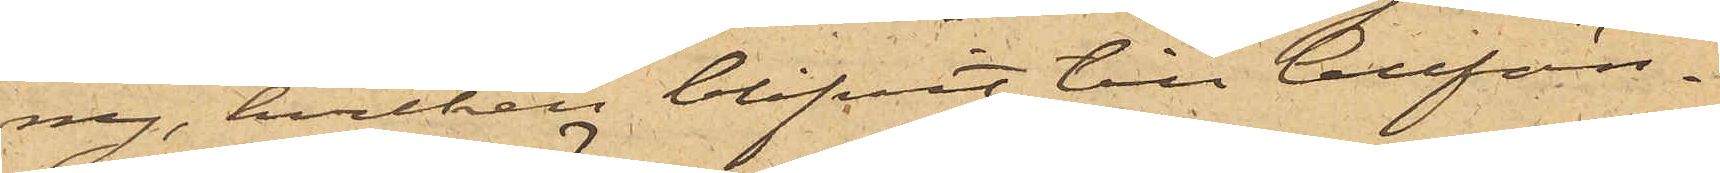ny, hvilken blifvit till Cellfän¬
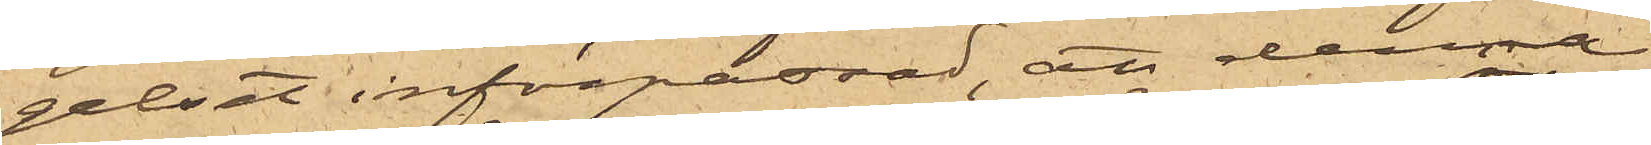gelset införpassad, att denna
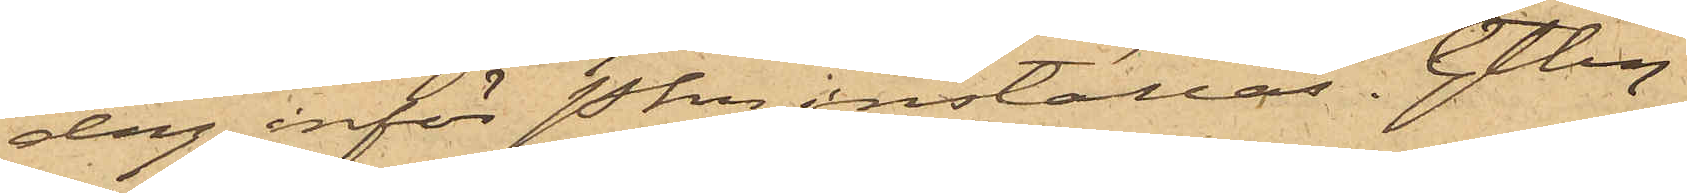dag inför Pkn inställas. Gtbg
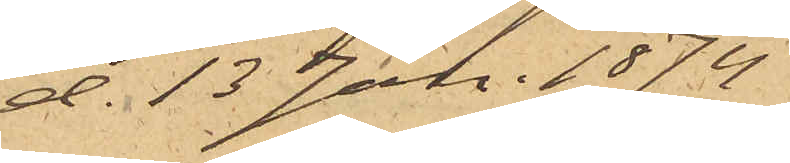d. 13 Jan. 1874
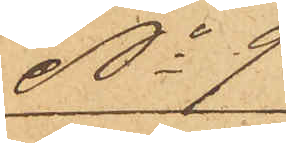No 9
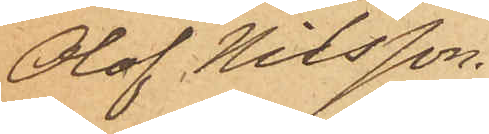Olof Nilsson.
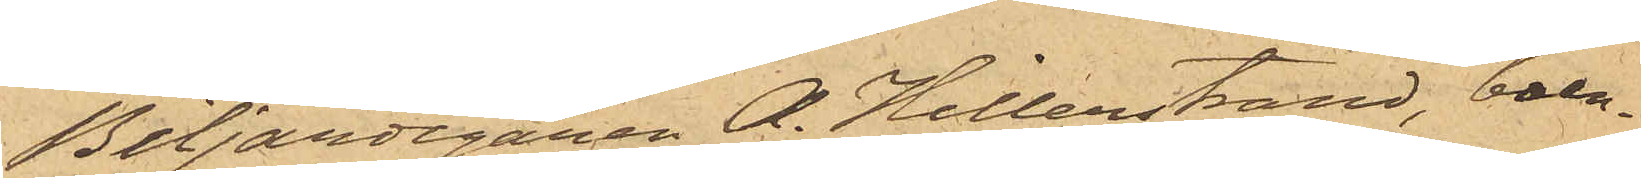Biljardegaren A. Hillerstrand, boen¬
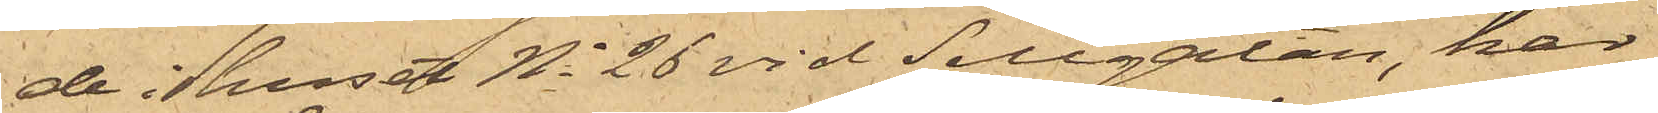de i huset No 26 vid Sillgatan, har
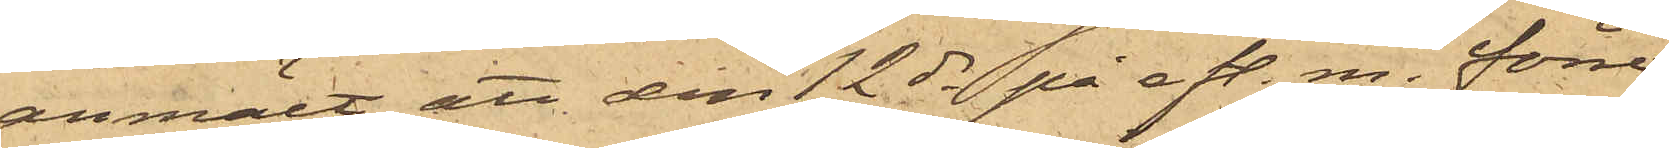anmält, att den 12 ds på eft. m. förre
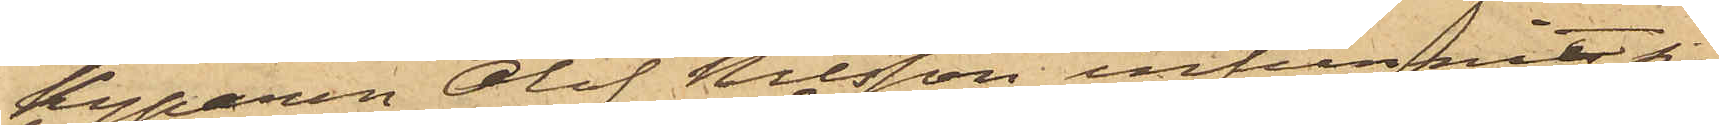Kyparen Olof Nilsson infunnit sig
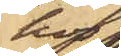hos
